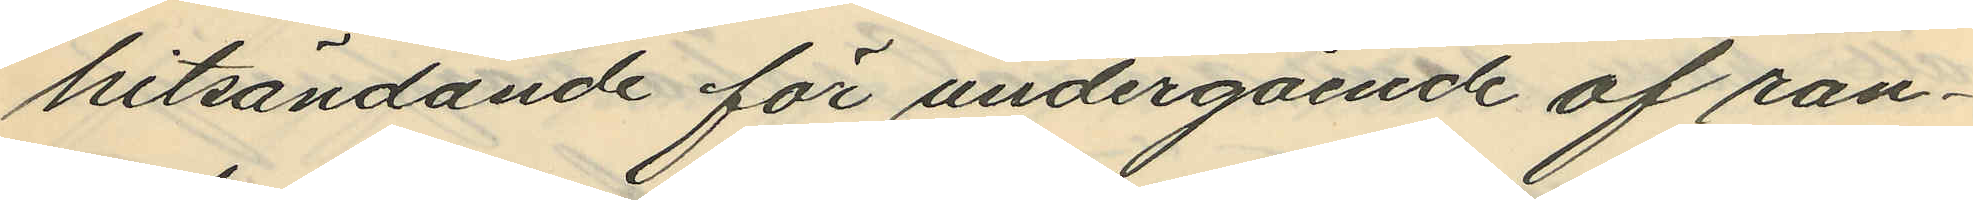hitsändande för undergående af ran¬
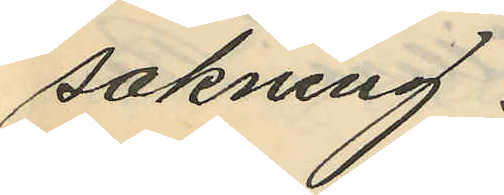sakning.
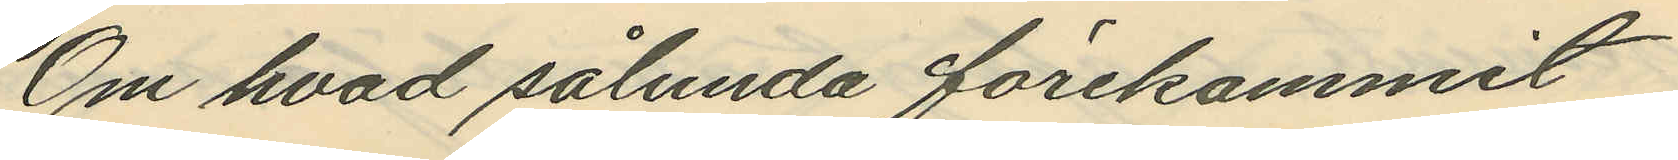Om hvad sålunda förekommit
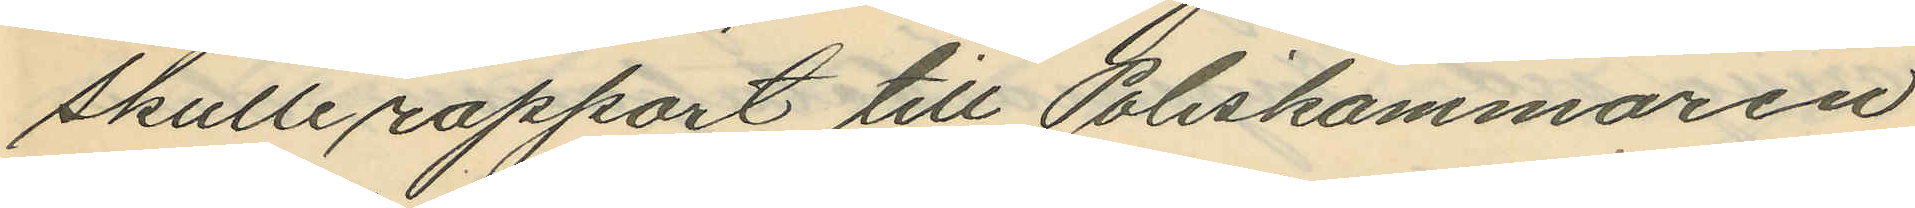skulle rapport till Poliskammaren
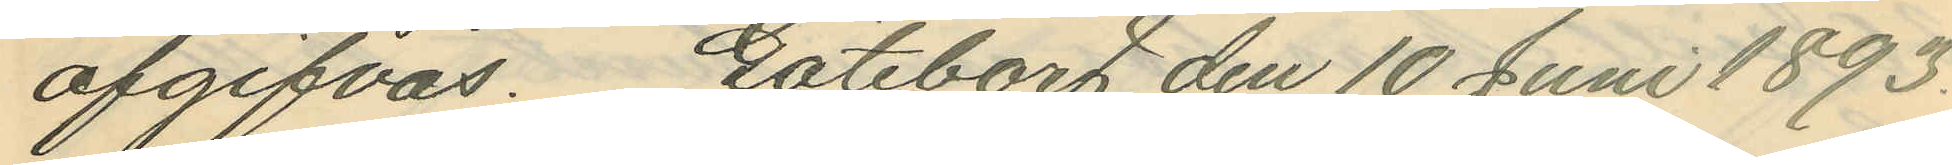afgifvas. Göteborg den 10 Juni 1893.
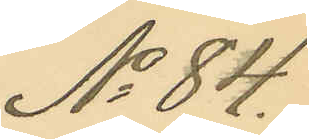No 84.
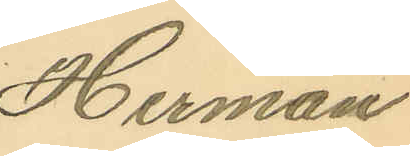Herman
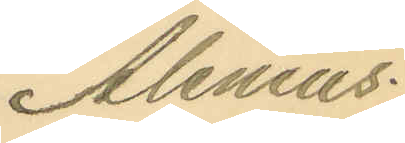Alenius.
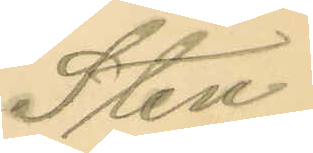Sten
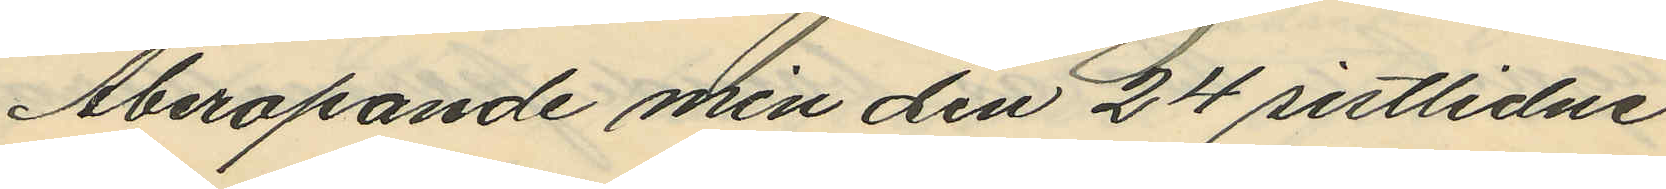Åberopande min den 24 sistlidne
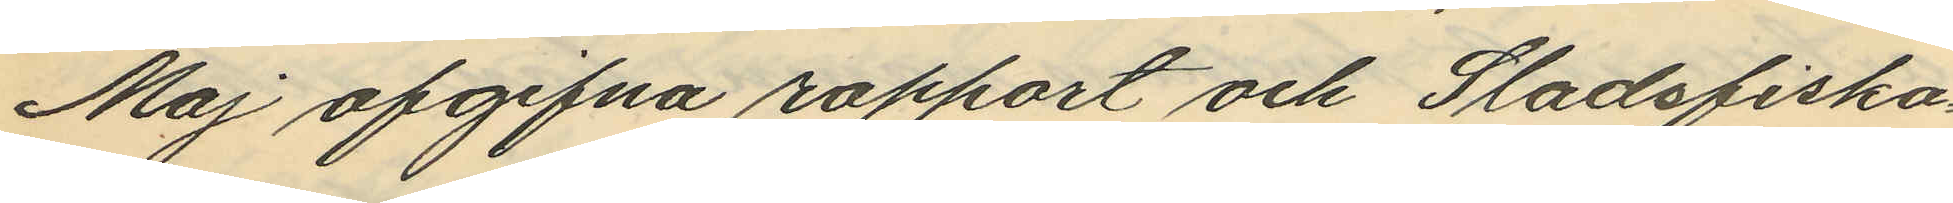Maj afgifna rapport och Stadsfiska¬
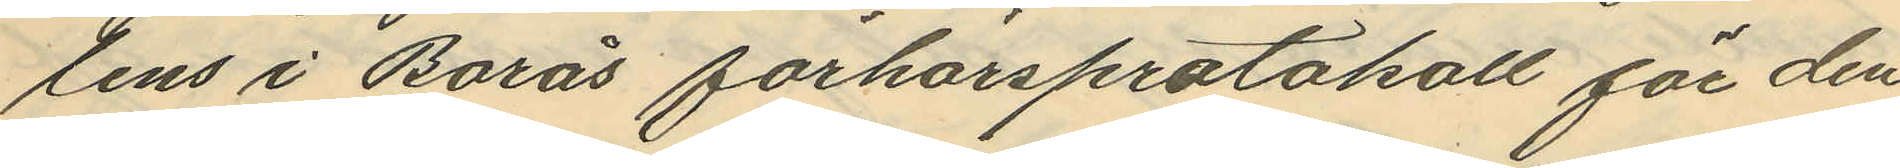lens i Borås förhörsprotokoll för den
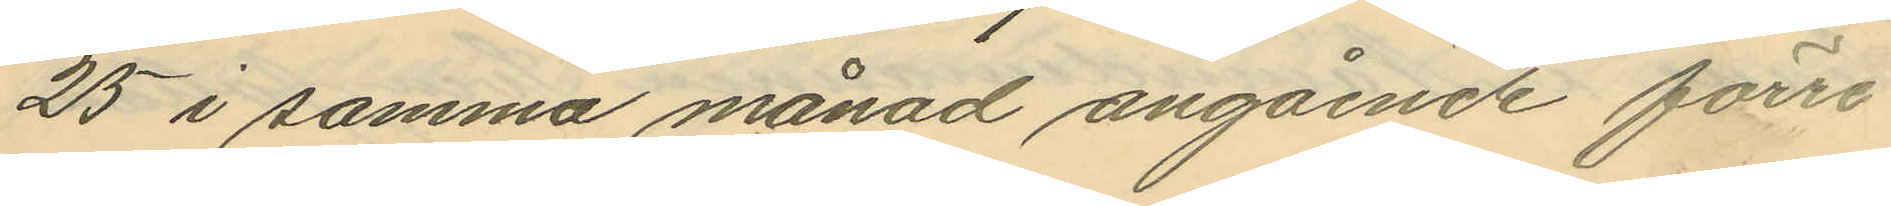25 i samma månad angående förre
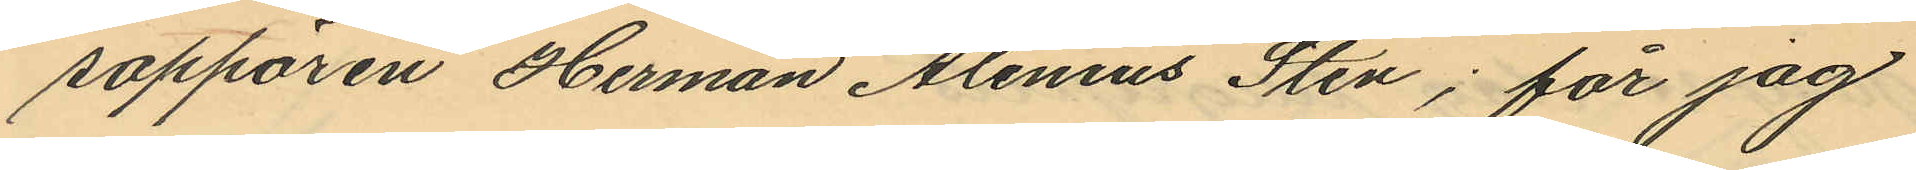sappören Herman Alenius Sten; får jag
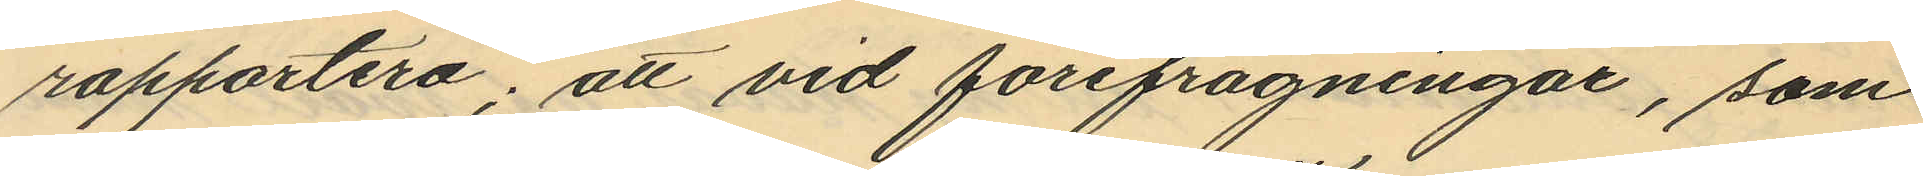rapportera; att vid förefrågningar, som
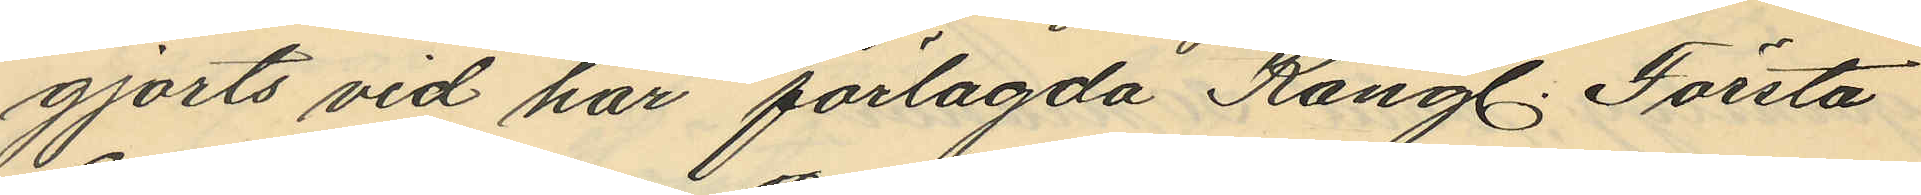gjorts vid här förlagda Kongl. Första
